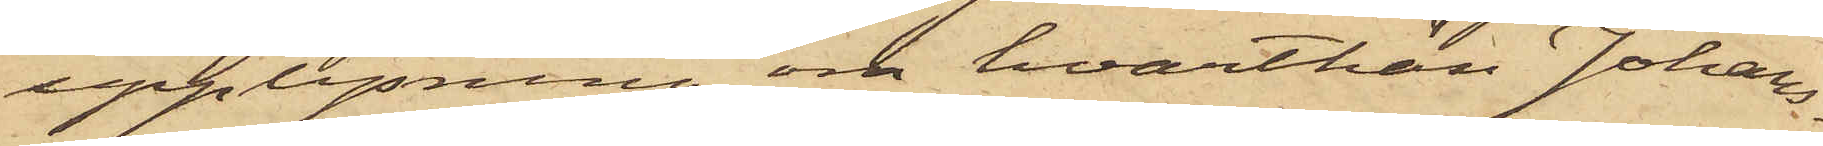upplysning om hvarthän Johans¬
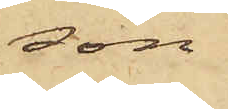son
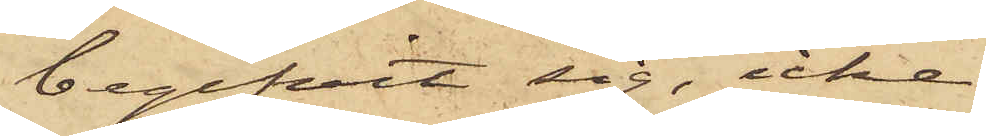begifvit sig, icke
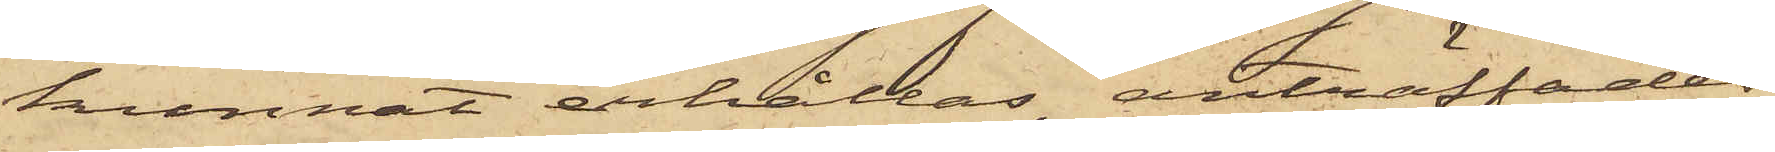kunnat erhållas, anträffades
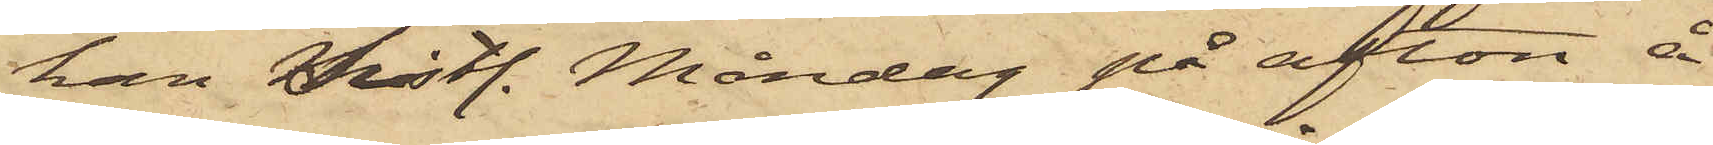han sistl. Måndag på afton å
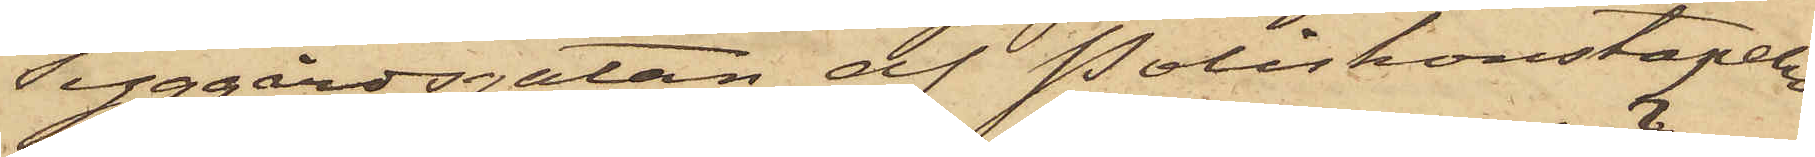Tyggårdsgatan af Poliskonstapeln
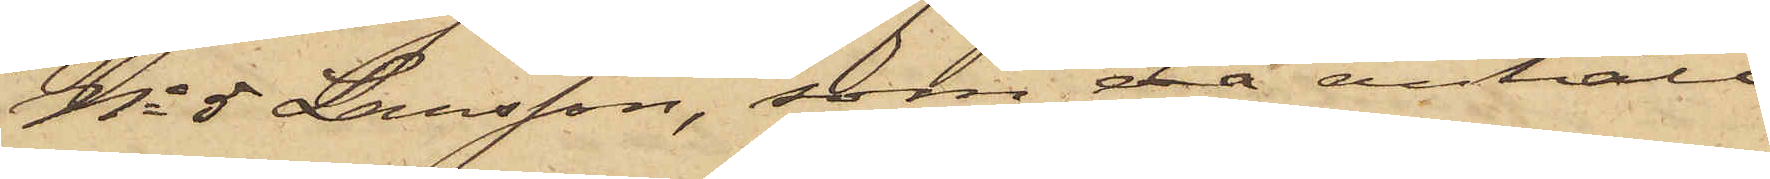No 5 Larsson, som då anhöll
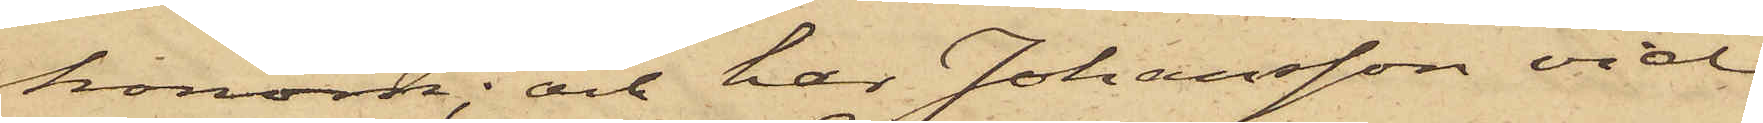honom; och har Johansson vid
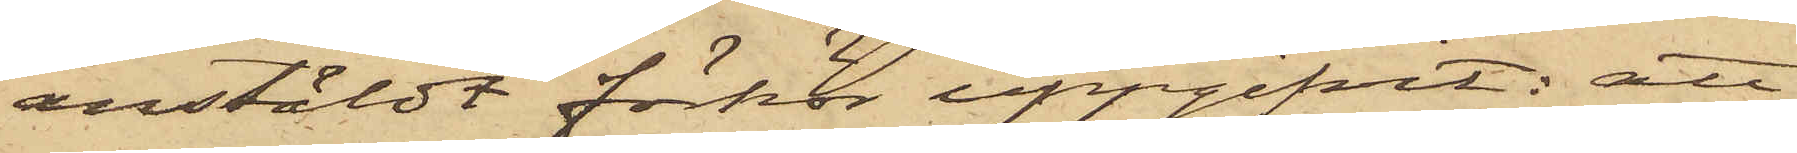anstäldt förhör uppgifvit: att
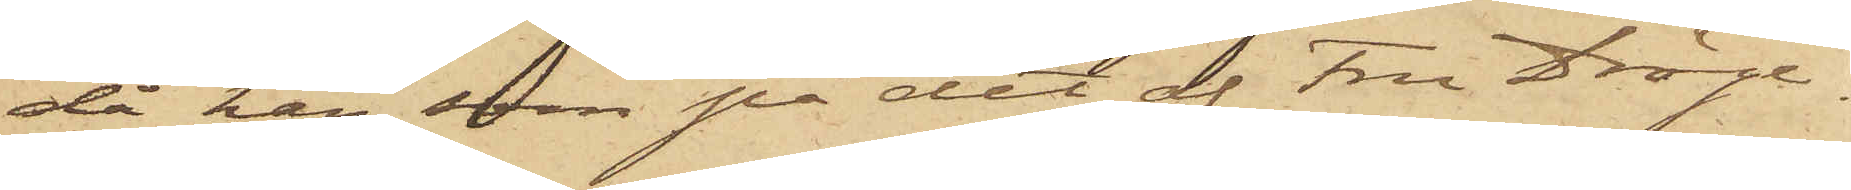då han, som på det af fru Dröge¬
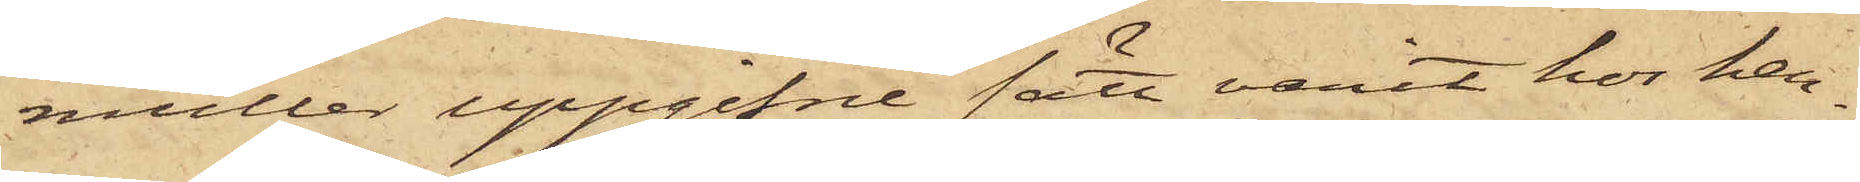müller uppgifne sätt varit hos hen¬
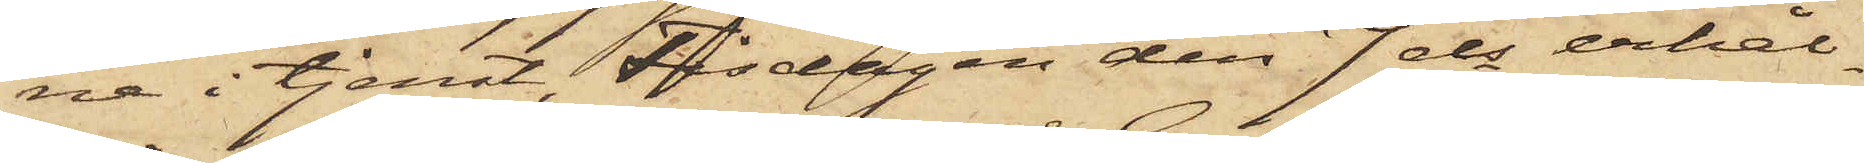ne i tjenst, Tisdagen den 7 ds erhål¬
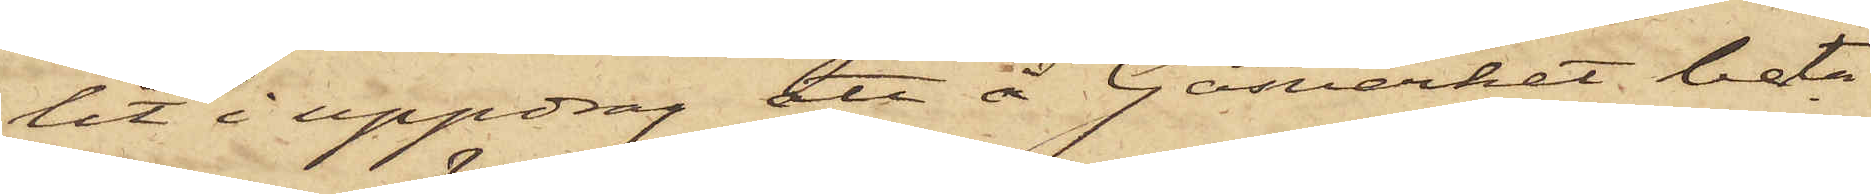lit i uppdrag att å Gasverket beta¬
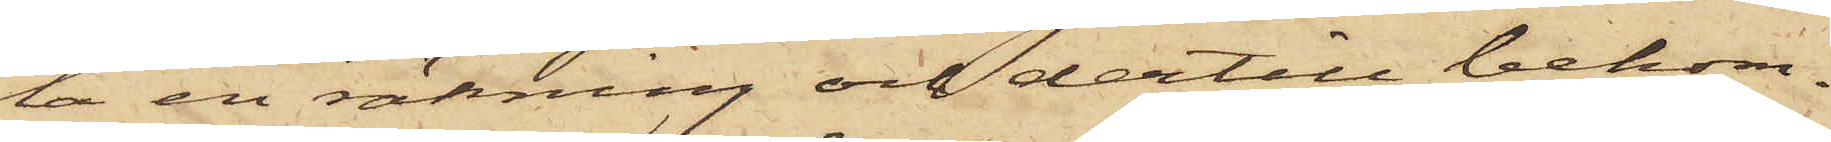la en räkning och dertill bekom¬
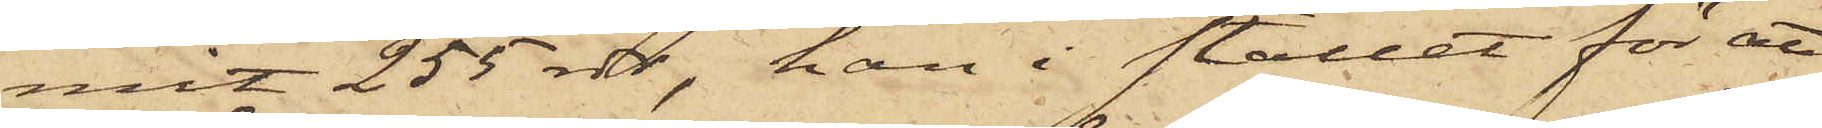mit 255 rdr, han i stället för att
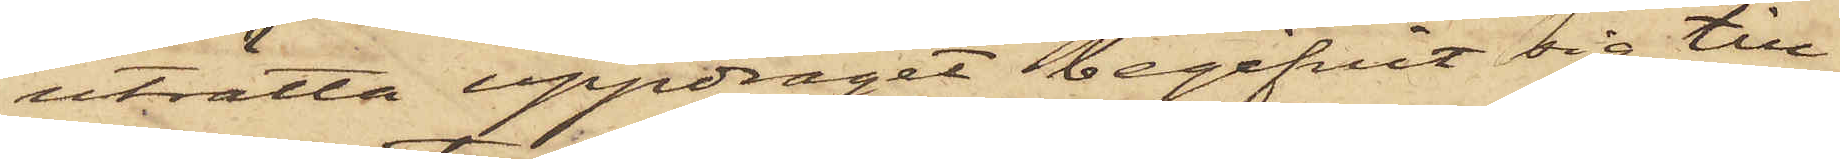uträtta uppdraget begifvit sig till
